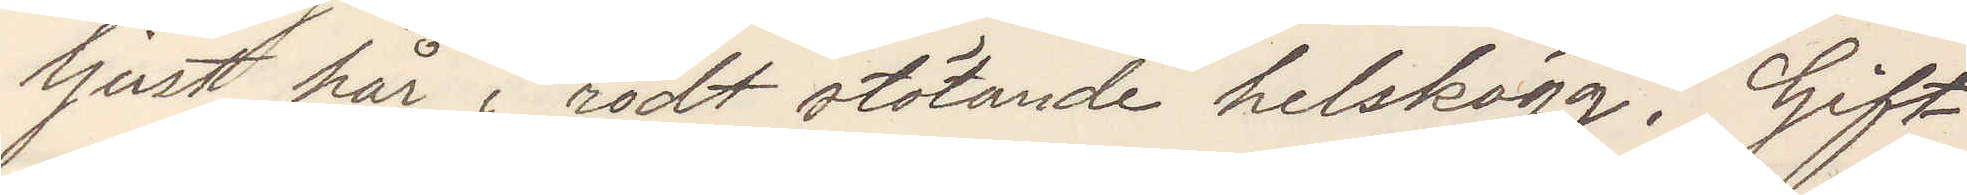ljust hår rödt stötande helskägg. Gift
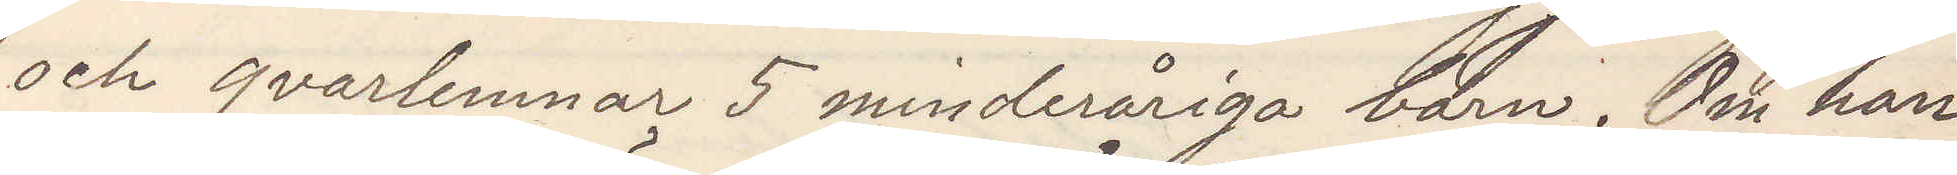och qvarlemnar 5 minderåriga barn. Om han
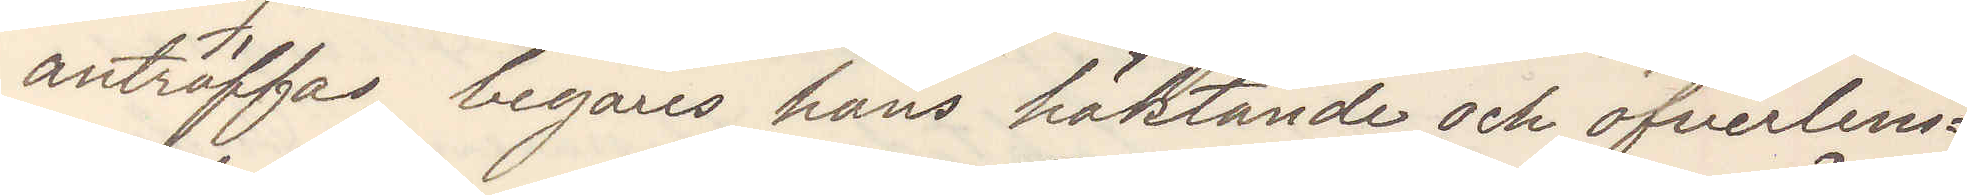anträffas, begäres hans häktande och öfverlem¬
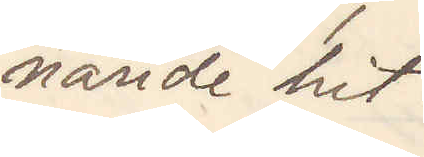nande hit.
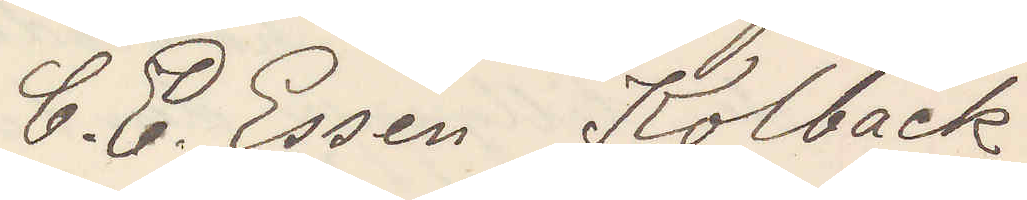C. E. Essén Kolbäck
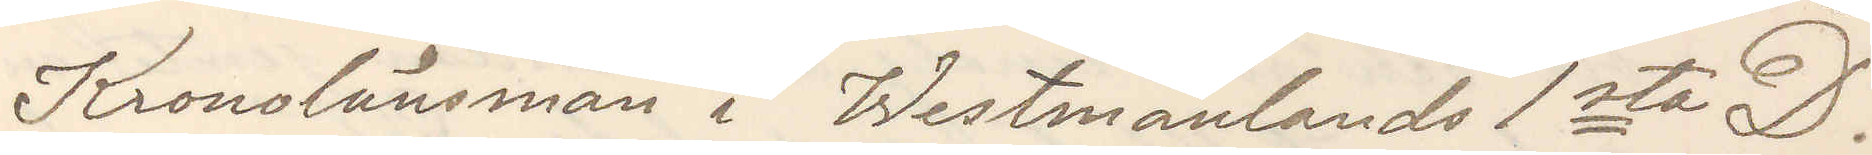Kronolänsman i Westmanlands 1sta D.
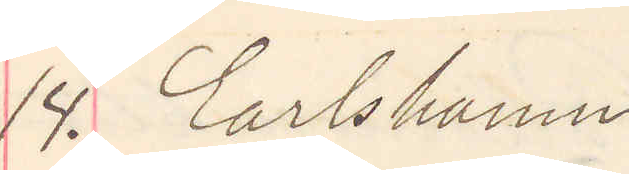14. Carlshamn.
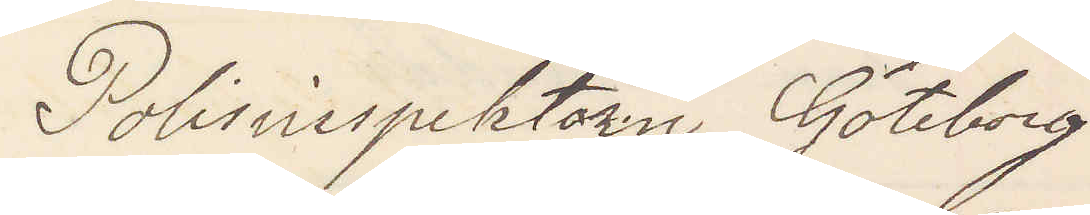Polisinspektorn Göteborg
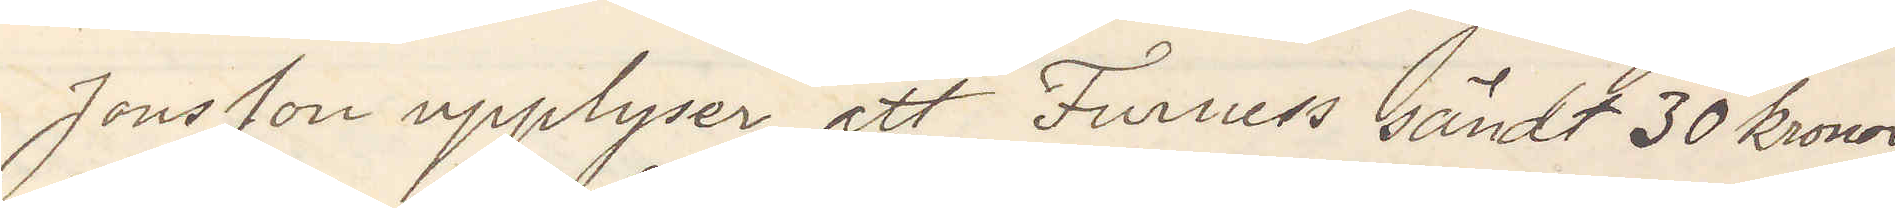Jonsson upplyser att Furness sändt 30 kronor
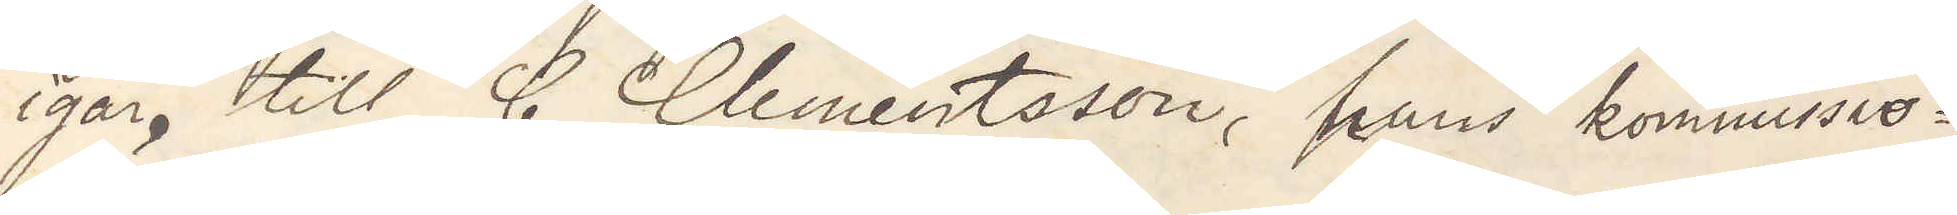igår till C Clementsson, hans kommisio¬
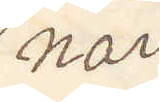när
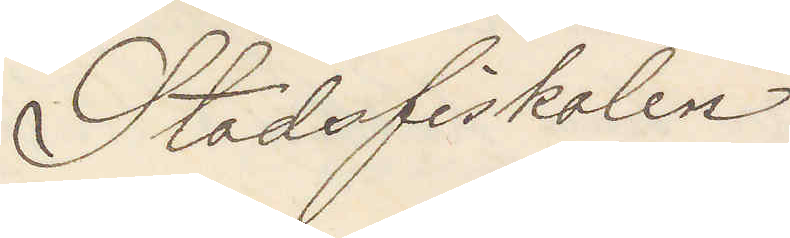Stadsfiskalen
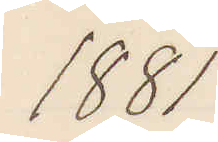1881
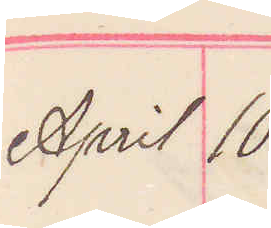April 10.
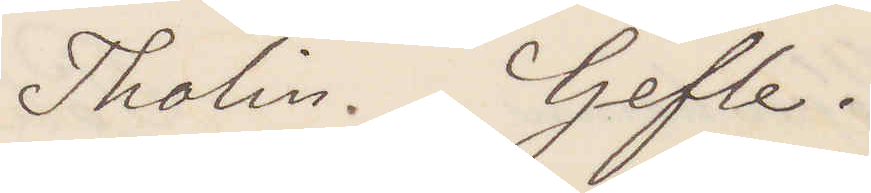Tholin. Gefle.
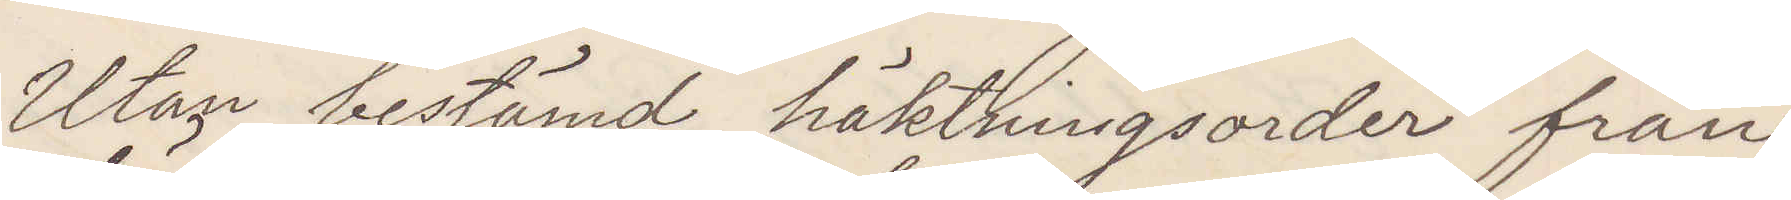Utan bestämd häktningsorder från
